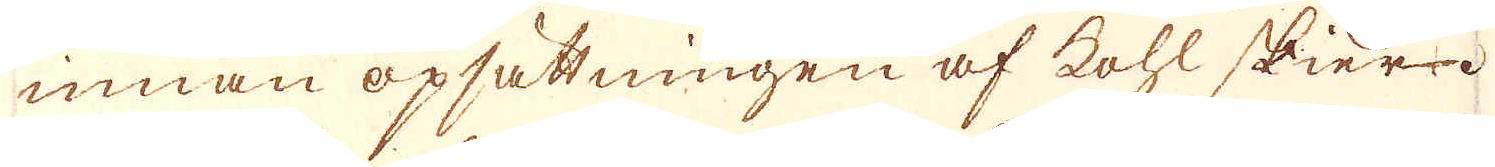innan opsättningen af kohl skier.
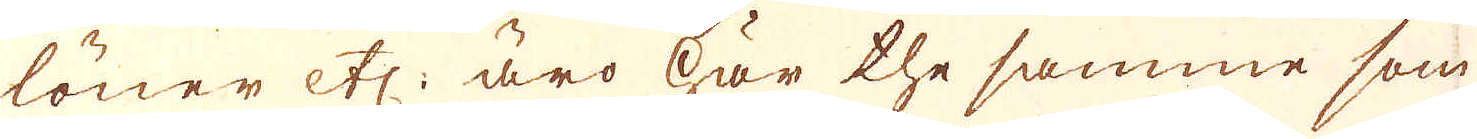löner etc: äro här the samme som
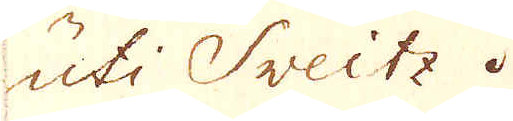uti Sveitz.
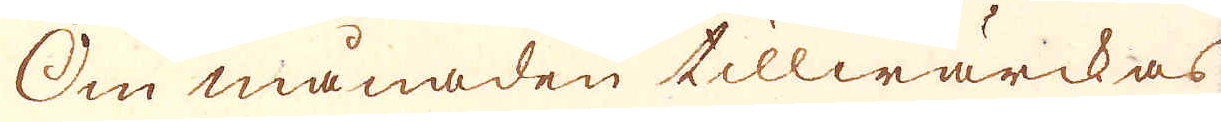Om månaden tillwärckas
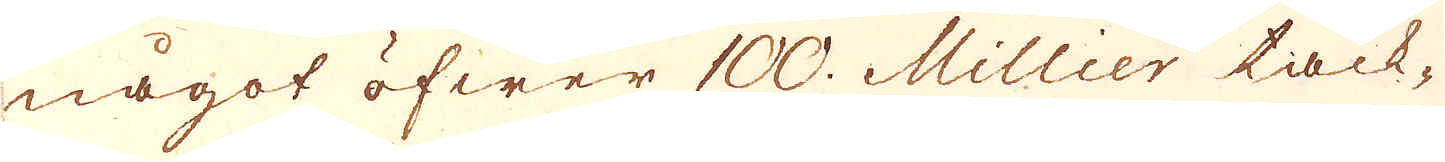något öfwer 100 Millier tack-
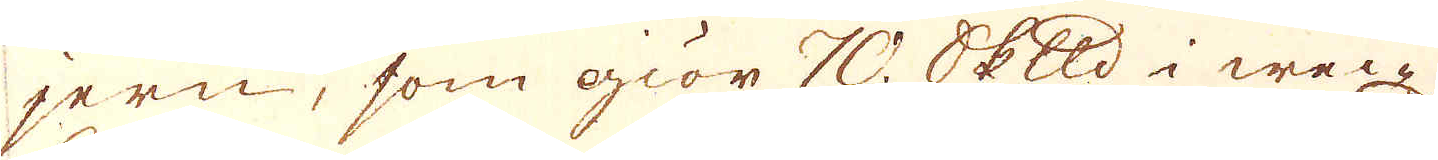jern, som giör 70 skeppund i wec-
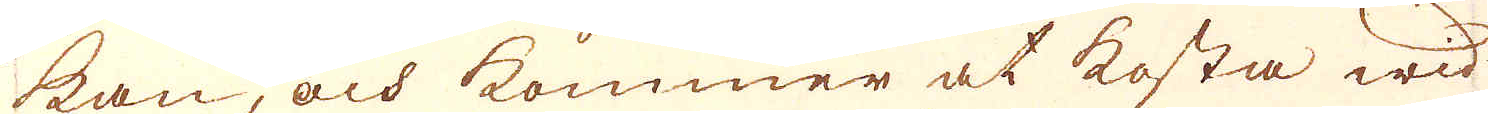kan, och kommer at kosta wid
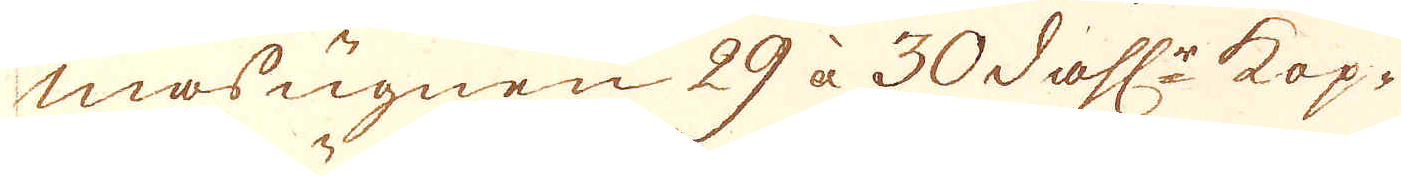masugnen 29 àa 30 dahl:r kop-
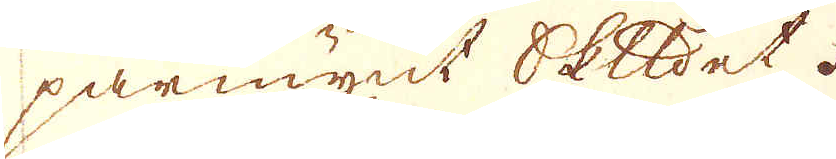parmynt skeppundet.
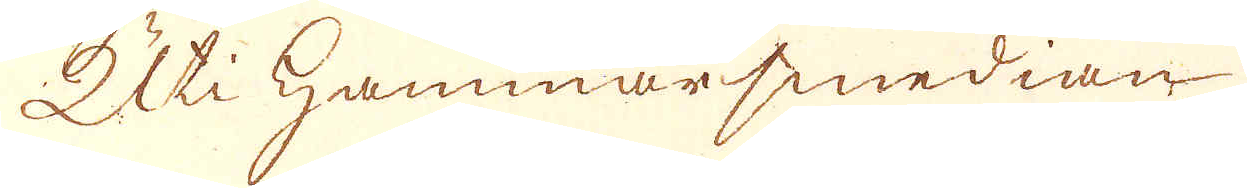Uti Hammarsmedian
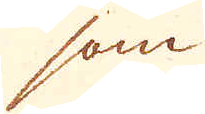som
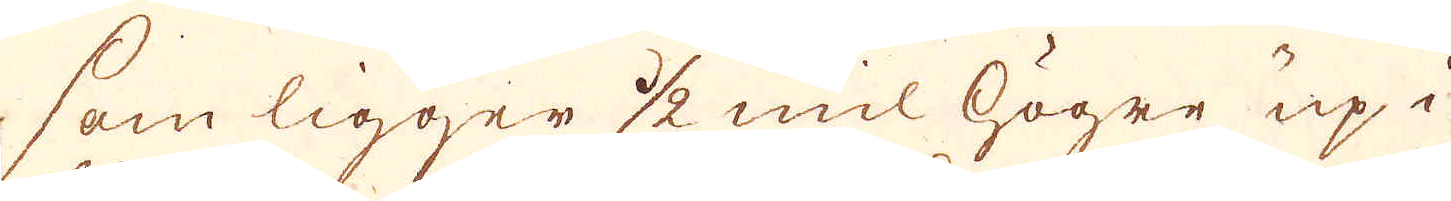som ligger 1/2 mil högre up i
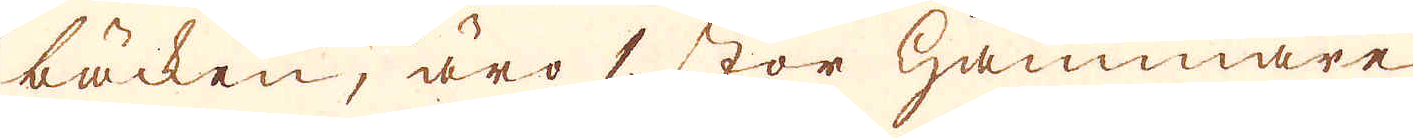bäcken, äro 1 stor hammare
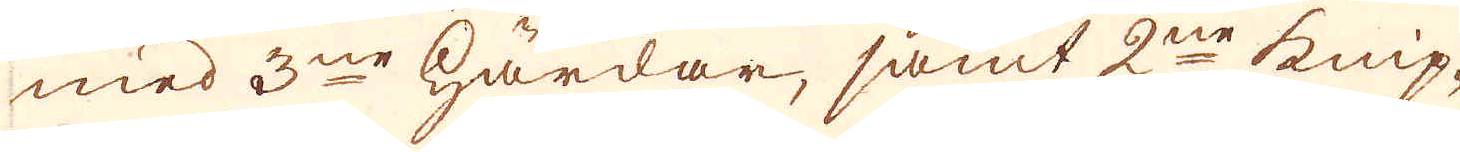med 3ne härdar, samt 2ne Knip-
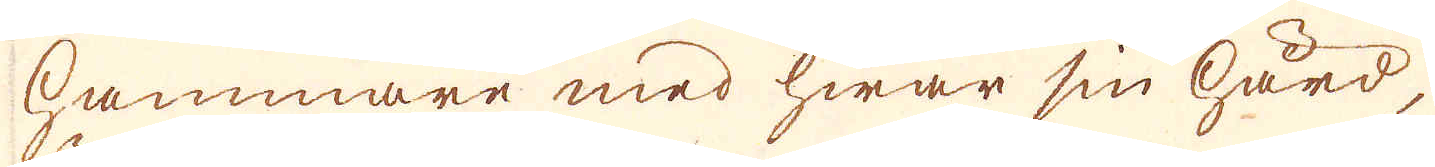hammare med hwar sin härd,
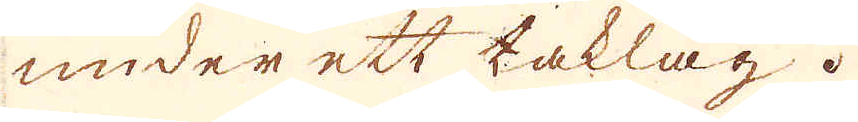under ett taklag.
